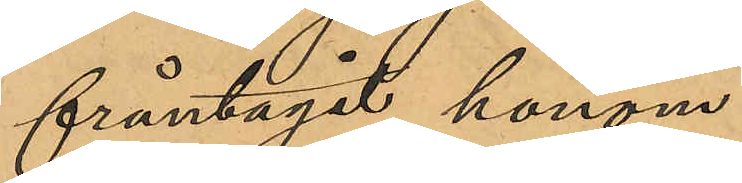fråntagit honom.
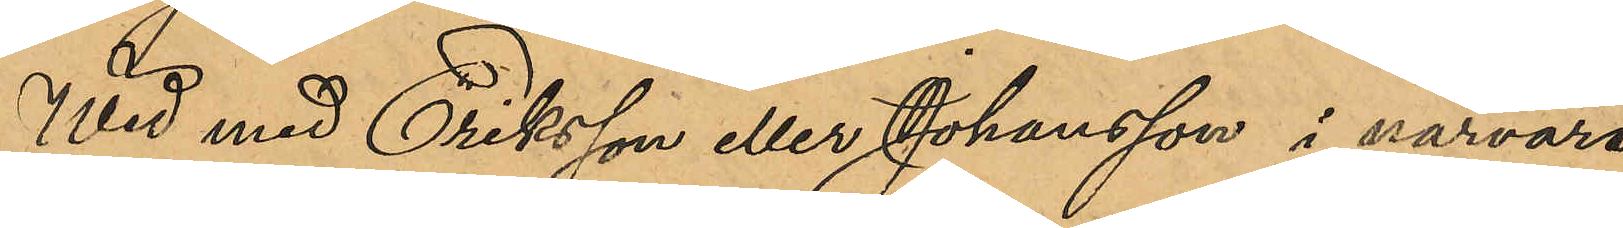Wid med Eriksson eller Johansson i närvaro
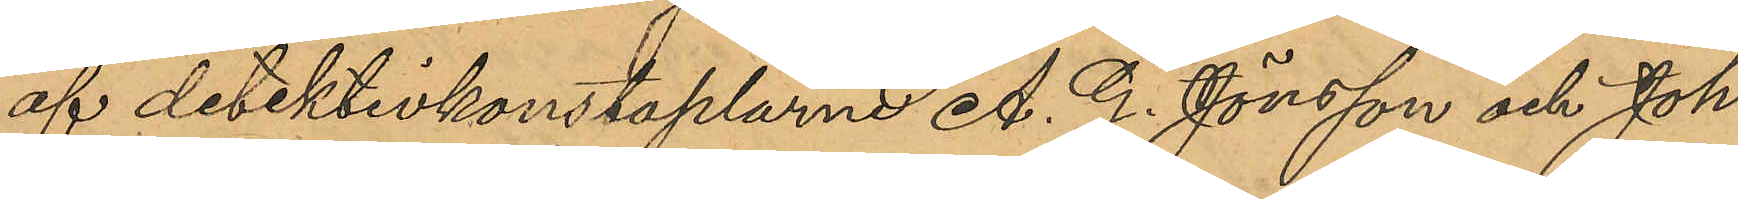af detektivkonstaplarne A. G. Jönsson och Joh.
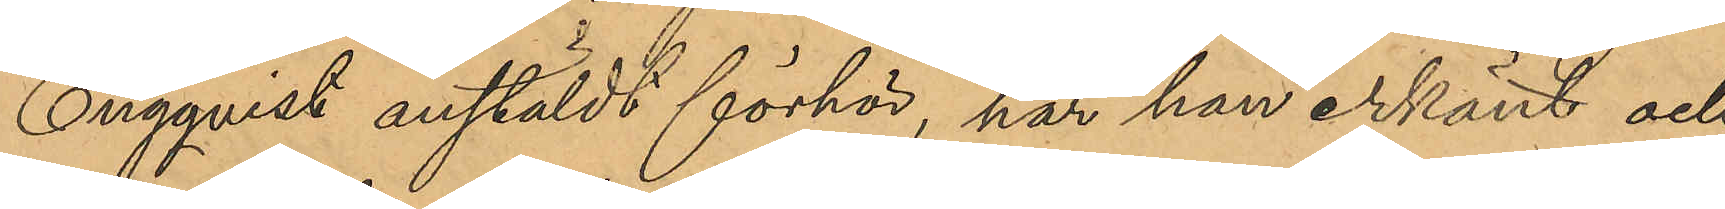Engqvist anstäldt förhör, har han erkänt och
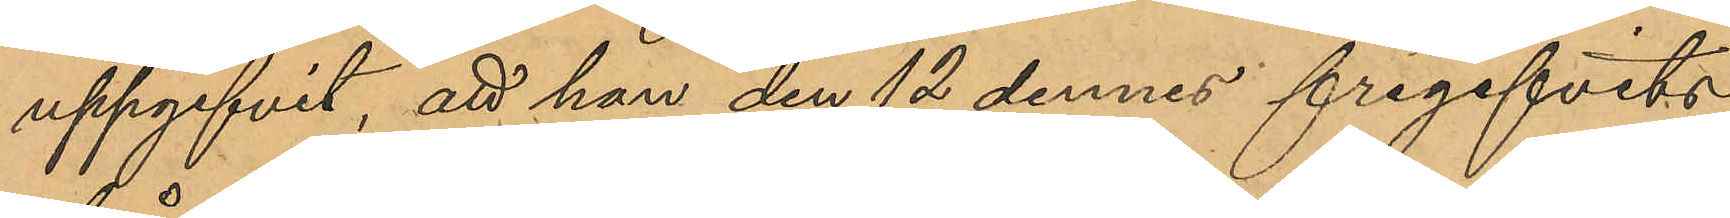uppgifvit, att han den 12 dennes frigifvits
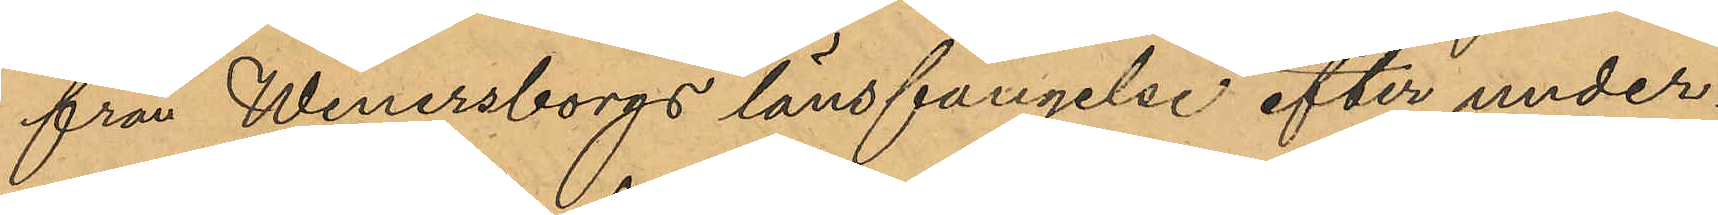från Wenersborgs länsfängelse efter under¬
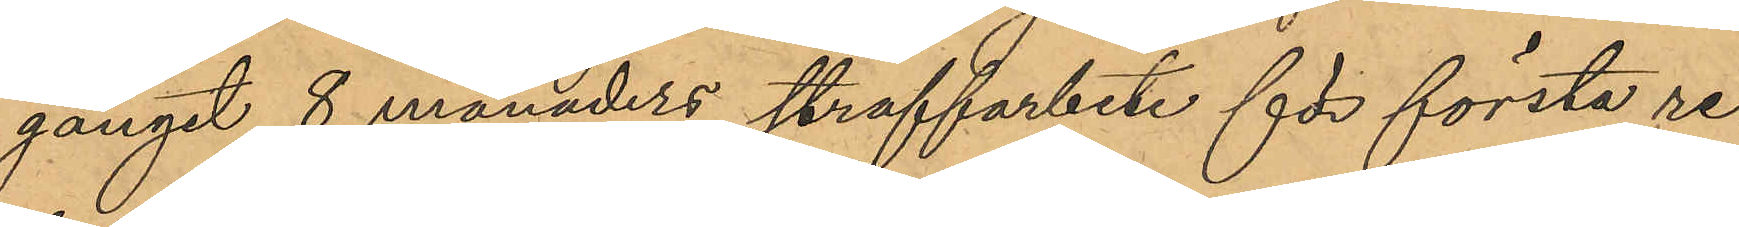gånget 8 månaders straffarbete för första re¬
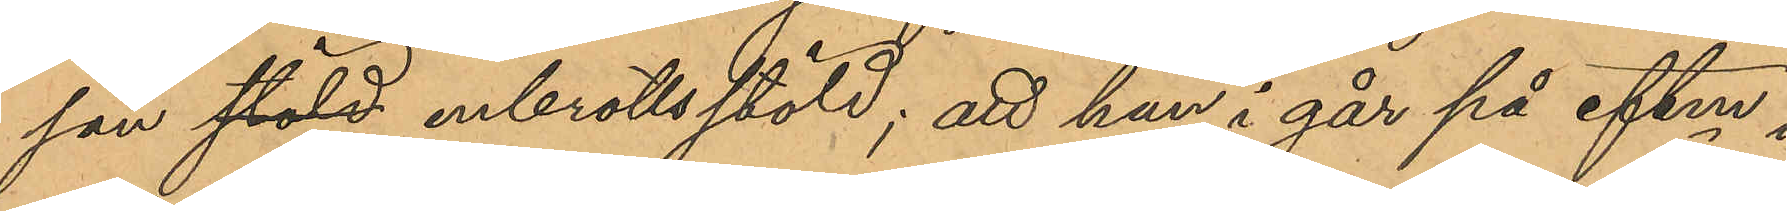san stöld inbrottsstöld; att han i går på eftm i
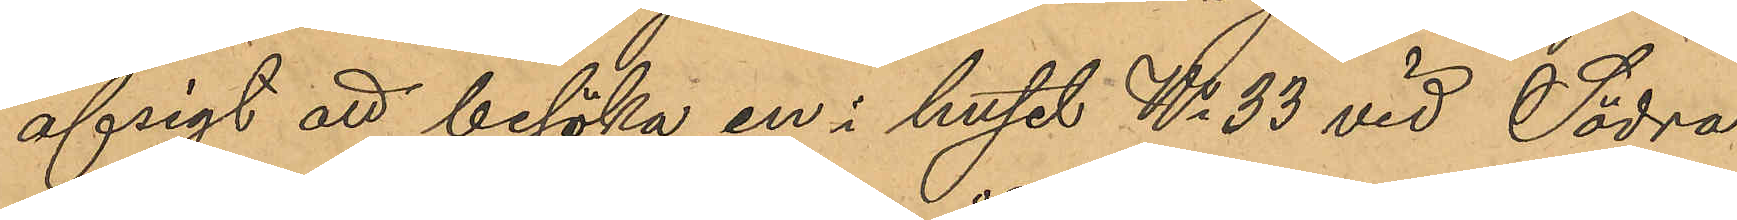afsigt att besöka en i huset No 33 vid Södra
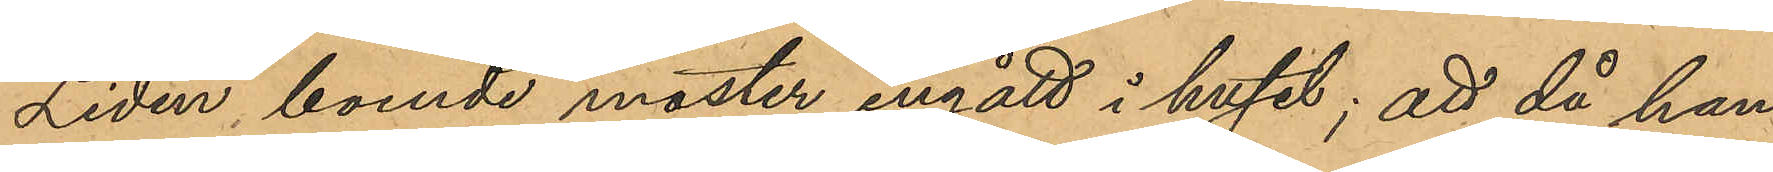Liden boende moster ingått i huset; att han då
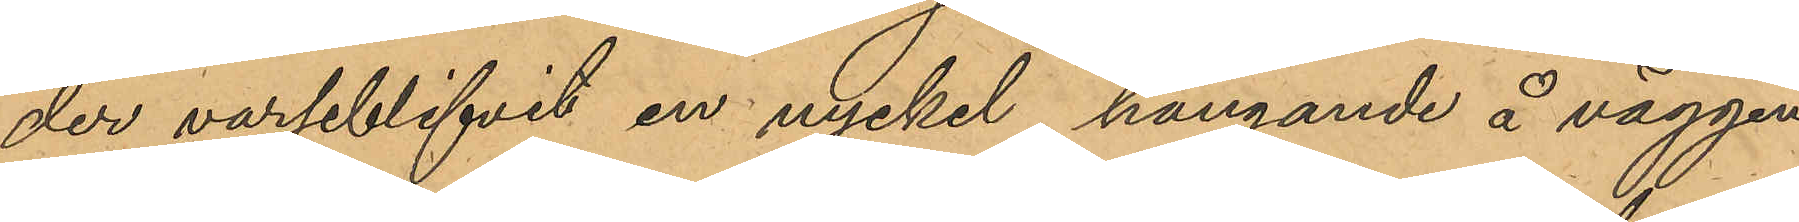der varseblifvit en nyckel, hängande å väggen
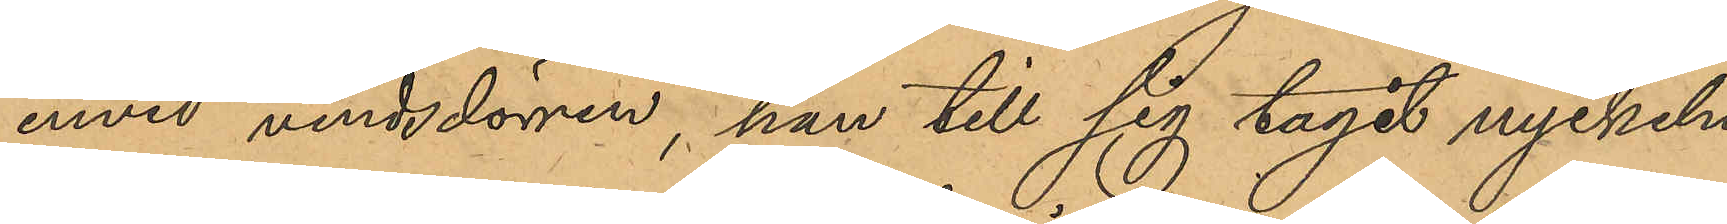invid vindsdörren, han till sig tagit nyckeln,
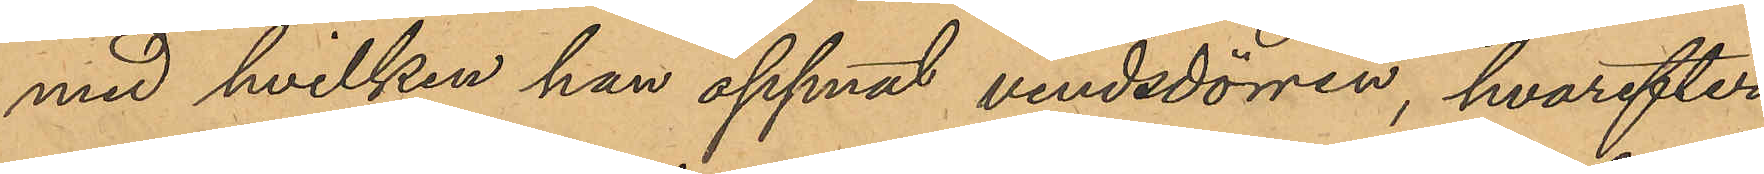med hvilken han öppnat vindsdörren, hvarefter
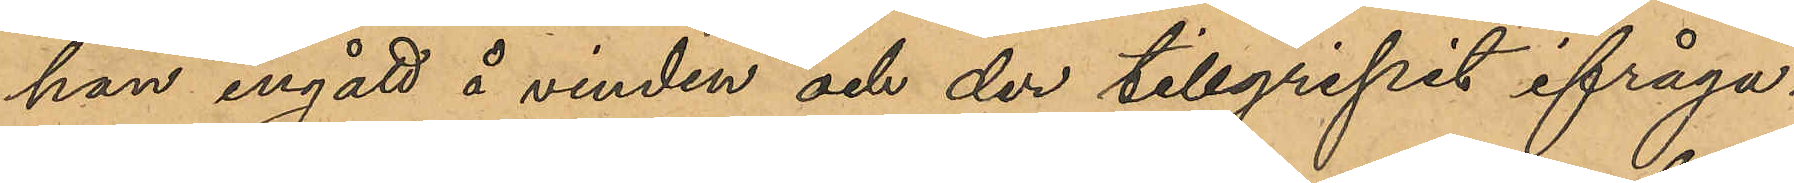han ingått å vinden och der tillgripit ifråga¬
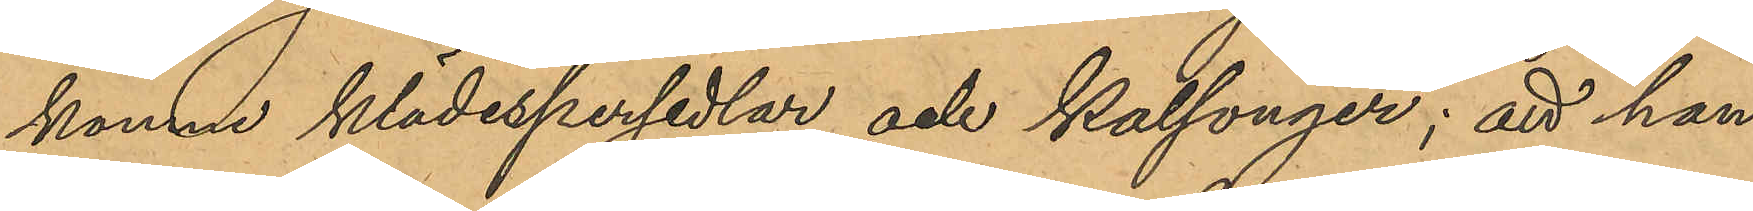komne klädespersedlar och kalsonger; att han,
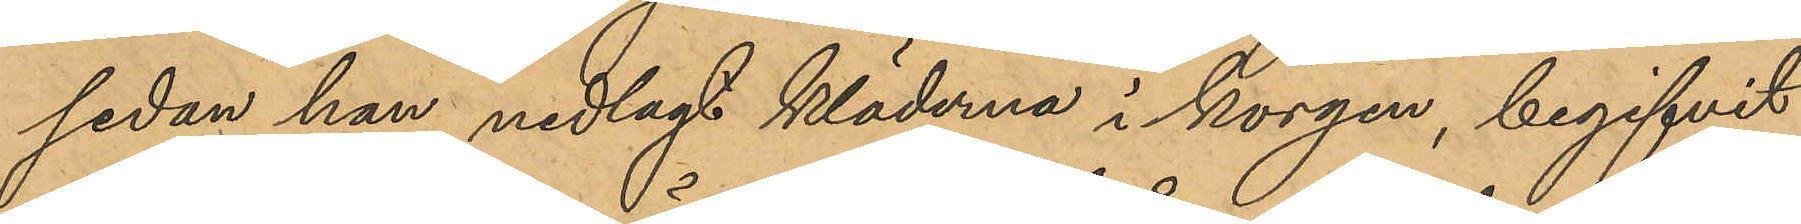sedan han nedlagt kläderna i korgen, begifvit
